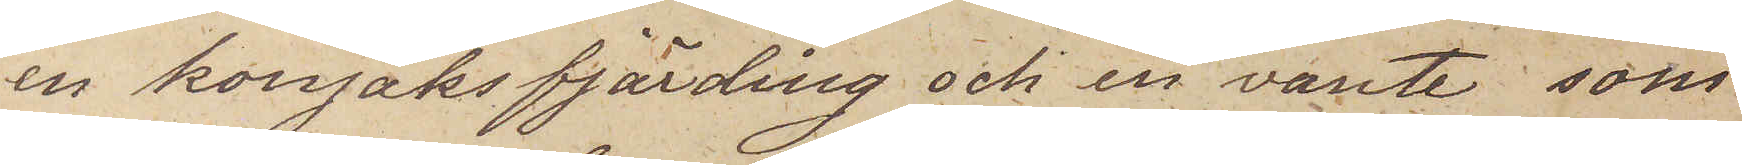en konjaksfjärding och en vante, som
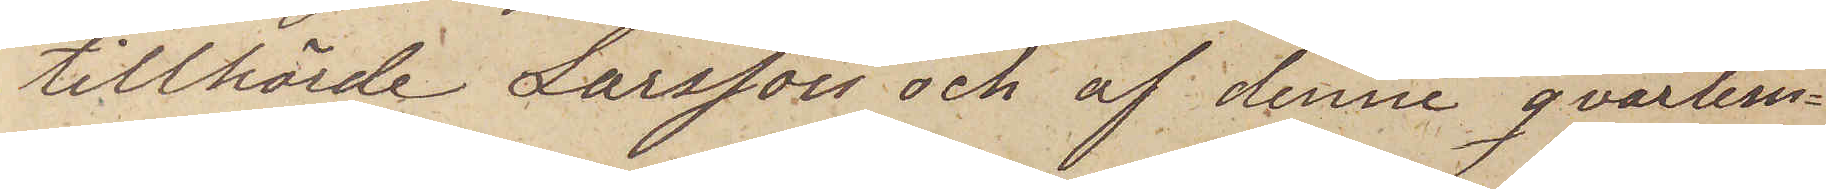tillhörde Larsson och af denne qvarlem¬
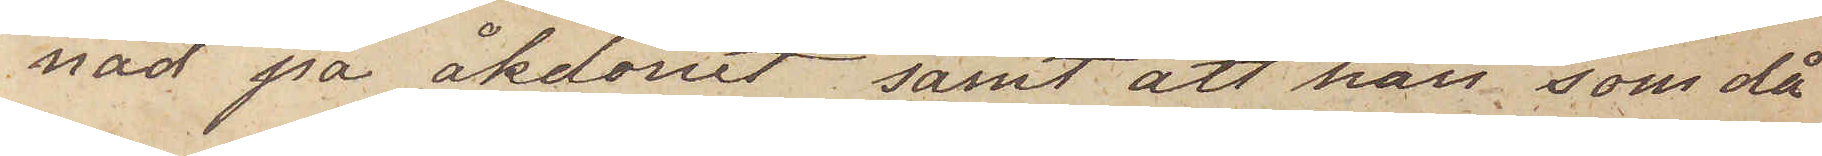nad på åkdonet, samt att han som då
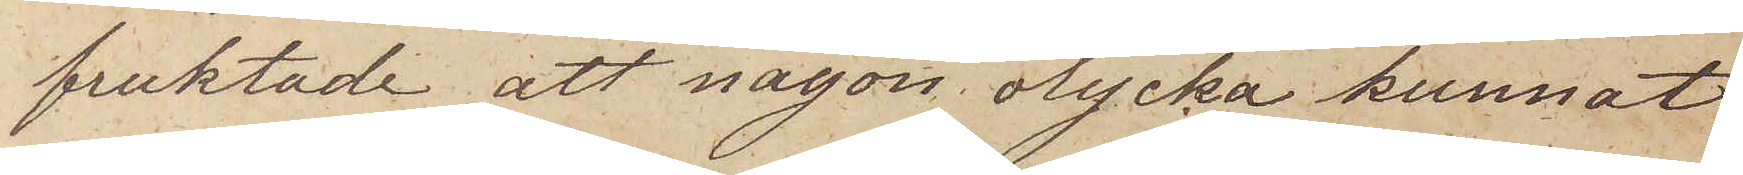fruktade att någon olycka kunnat
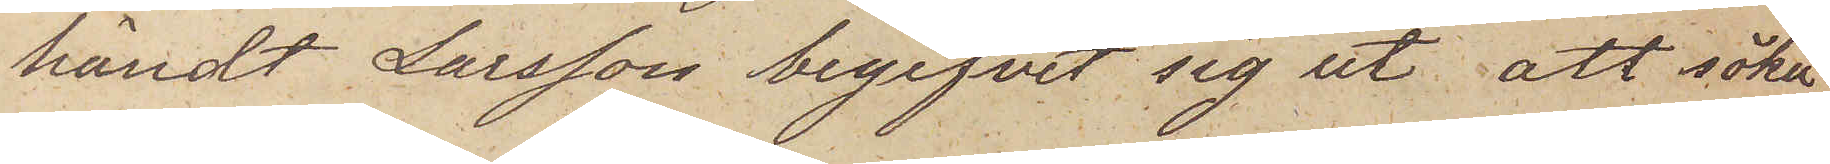händt Larsson begifvit sig ut att söka
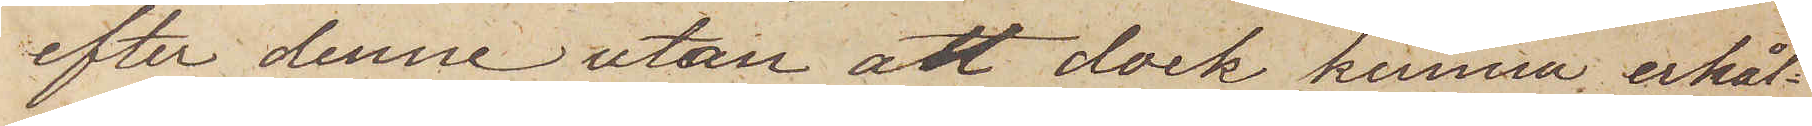efter denne utan att dock kunna erhål¬
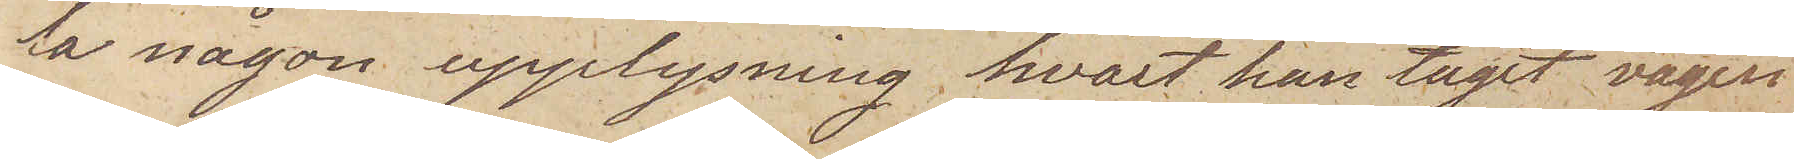la någon upplysning hvart han tagit vägen
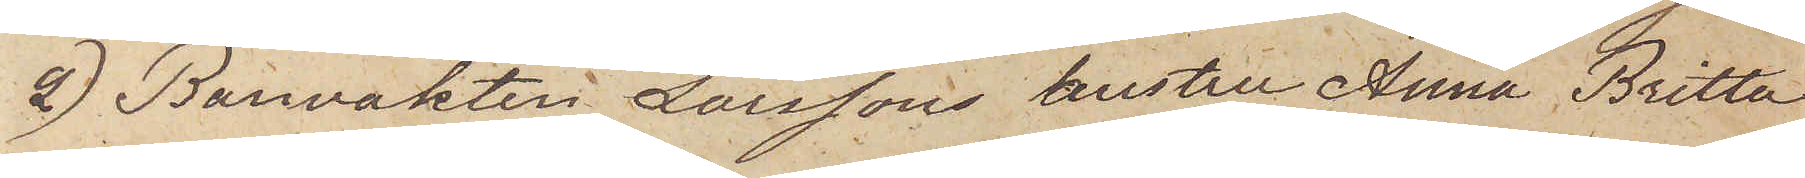2) Banvakten Larssons hustru Anna Britta
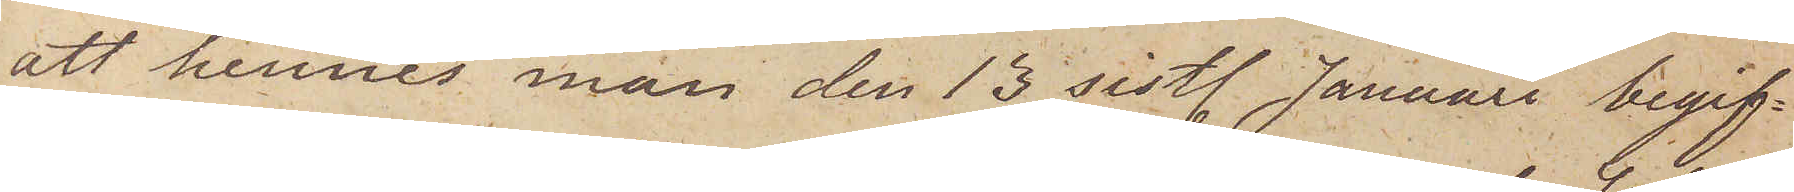att hennes man den 15 sist. Januari begif¬
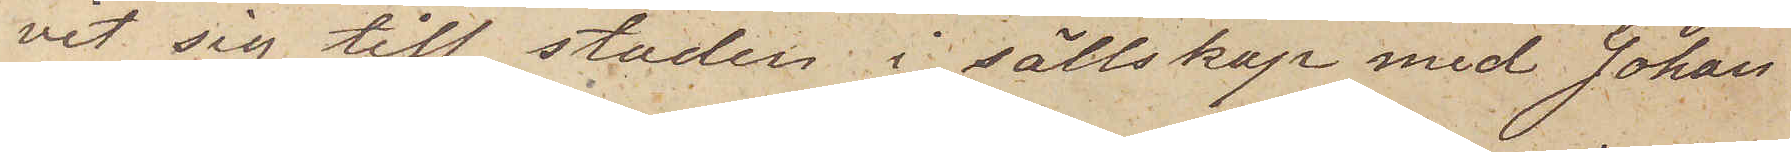vit sig till staden i sällskap med Johan
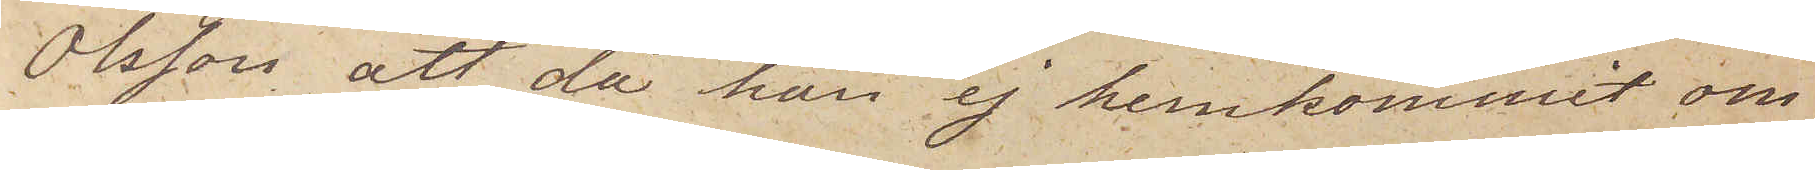Olsson, att då han ej hemkommit om
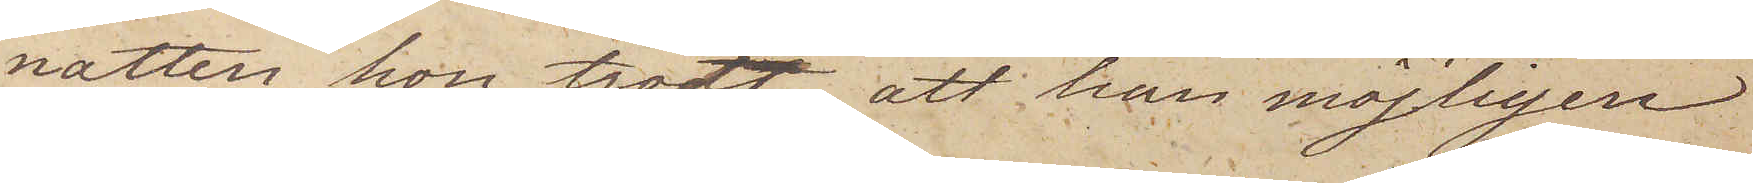natten hon trodt att han möjligen
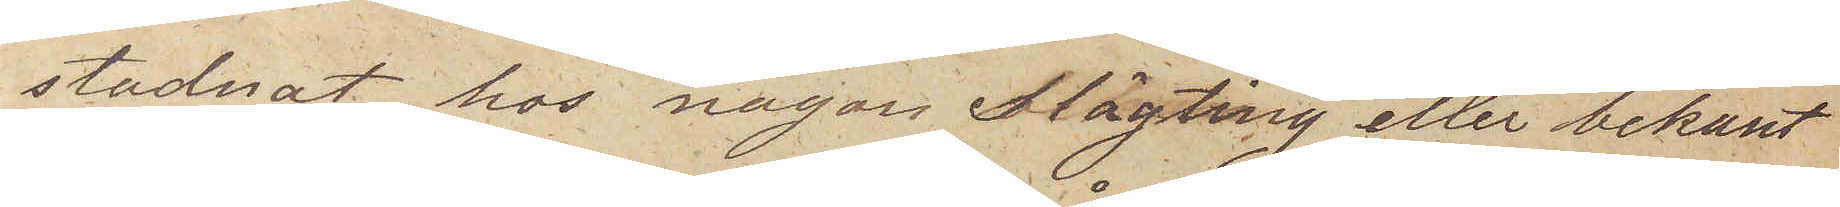stadnat hos någon slägting eller bekant
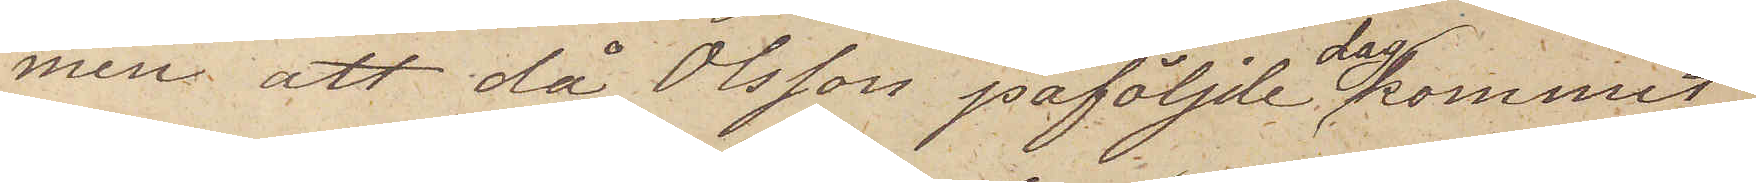men att då Olsson påföljde dag kommit
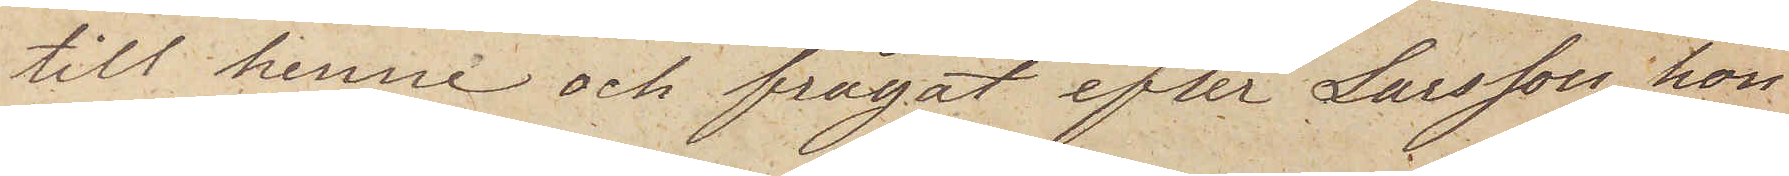till henne och frågat efter Larsson hon
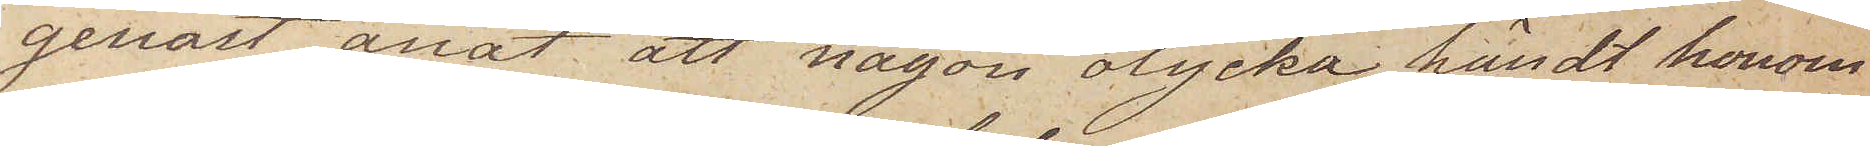genast anat att någon olycka händt honom
